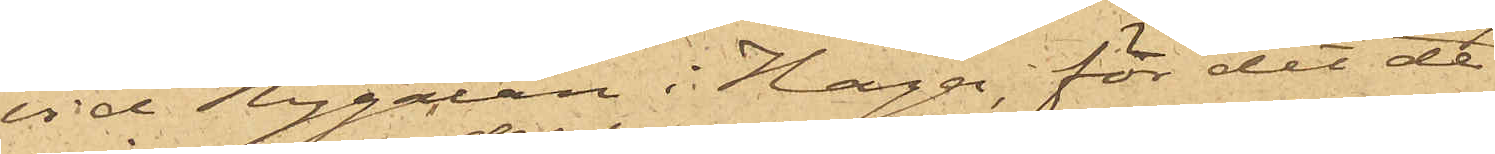vid Nygatan i Haga; för det de
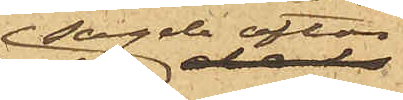sagde afton
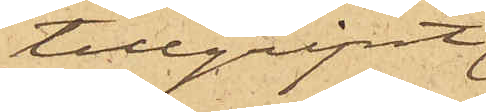tillgripit
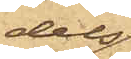dels
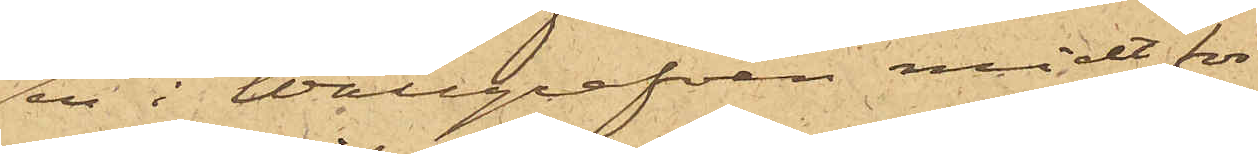en i Wallgrafven midt för
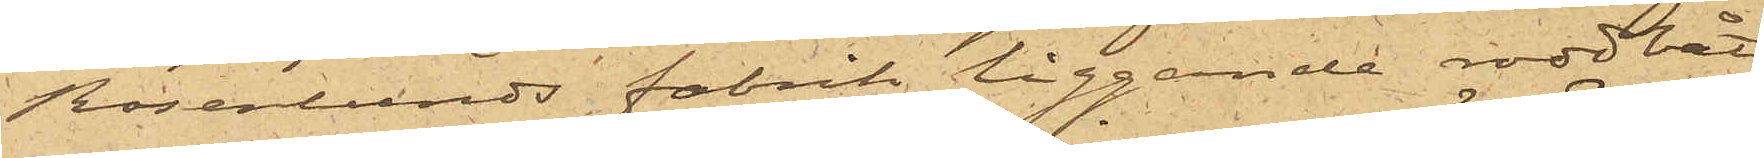Rosenlunds fabrik liggande roddbåt,
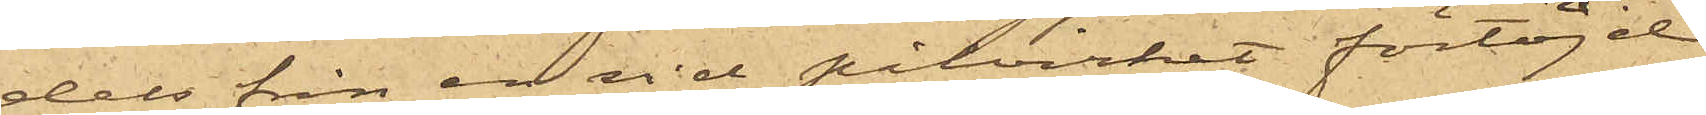dels från en vid pitvirket förtöjd
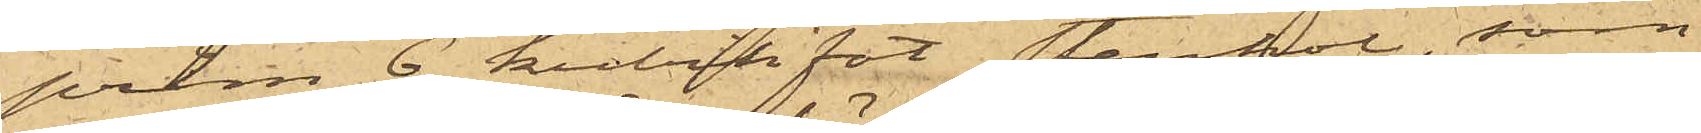pråm 6 kubikfot stenkol, som
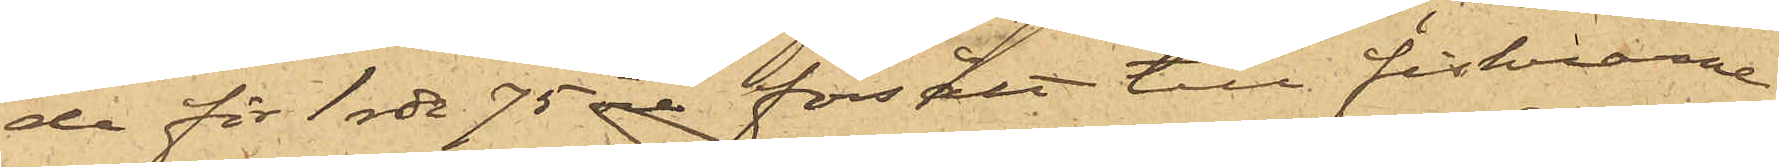de för 1 rdr 75 öre försålt till fiskarne
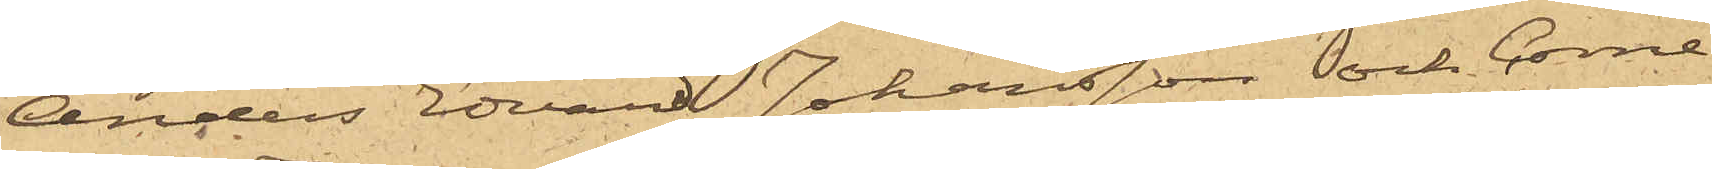Anders Edvard Johansson och Corne¬
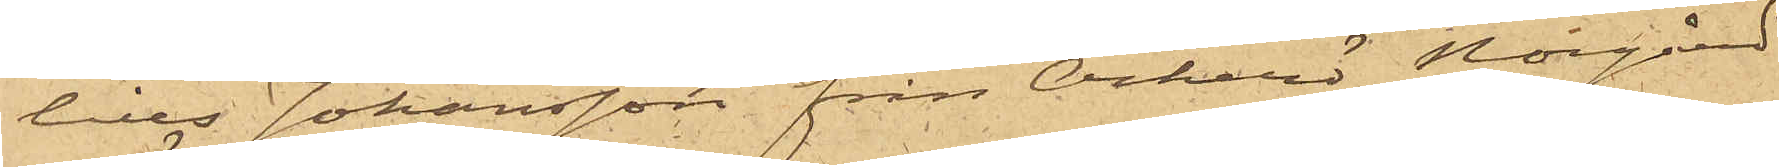lius Johansson från Öckerö Norgård
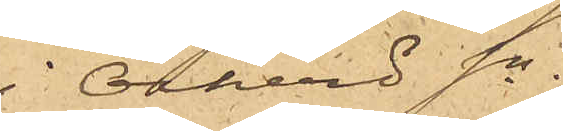i Öckerö sn.
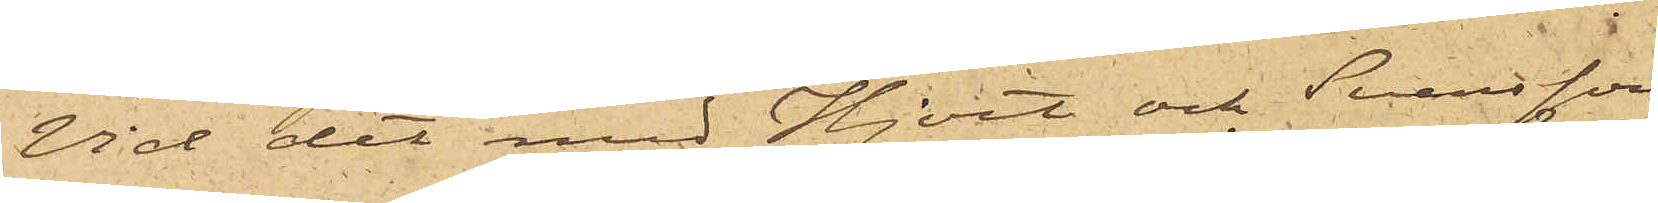Vid det med Hjort och Svensson
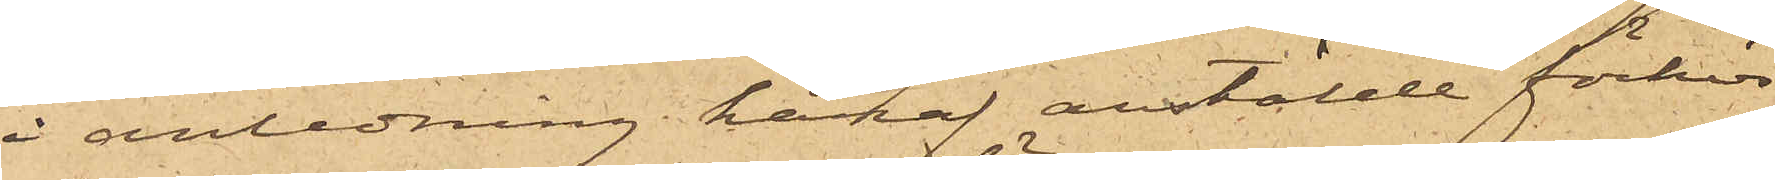i anledning häraf anstälde förhör
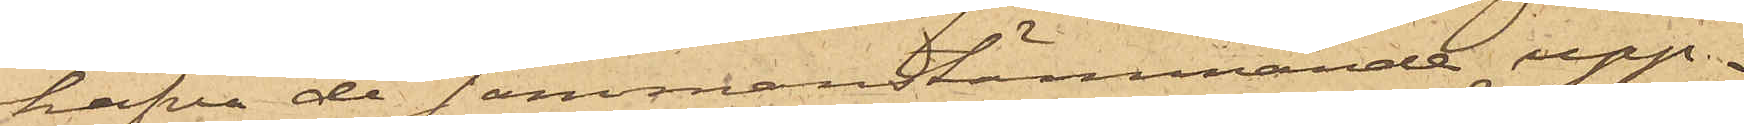hafva de sammanstämmande upp¬
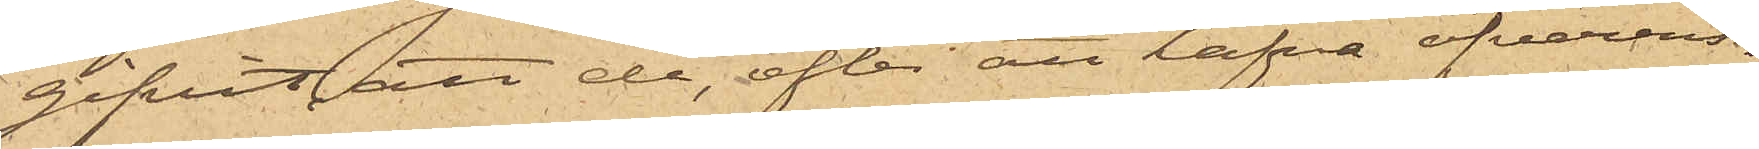gifvit, att de, efter att hafva öfverens¬
